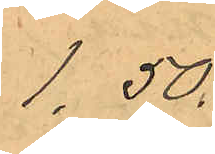1,50
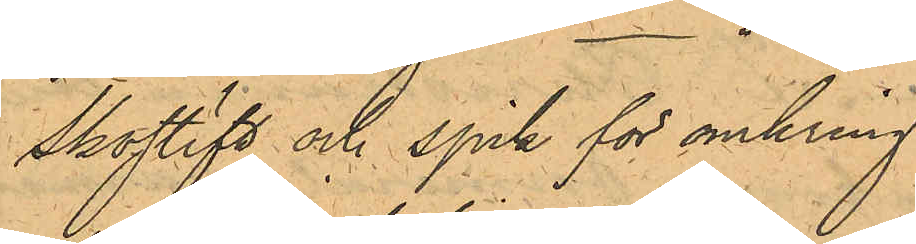skostift och spik för omkring
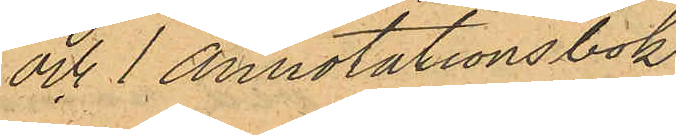och 1 annotationsbok
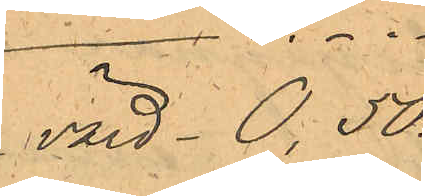värd - 0,50.
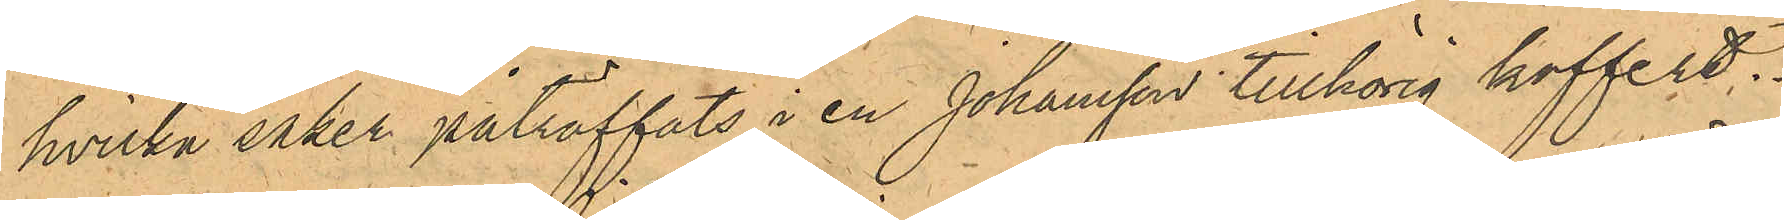hvilka saker påträffats i en Johansson tillhörig koffert.
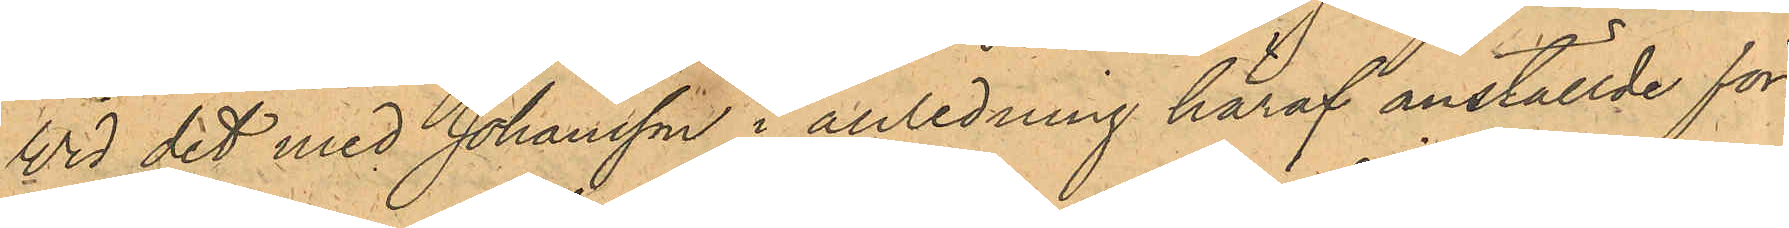Vid det med Johansson i anledning häraf anställde för¬
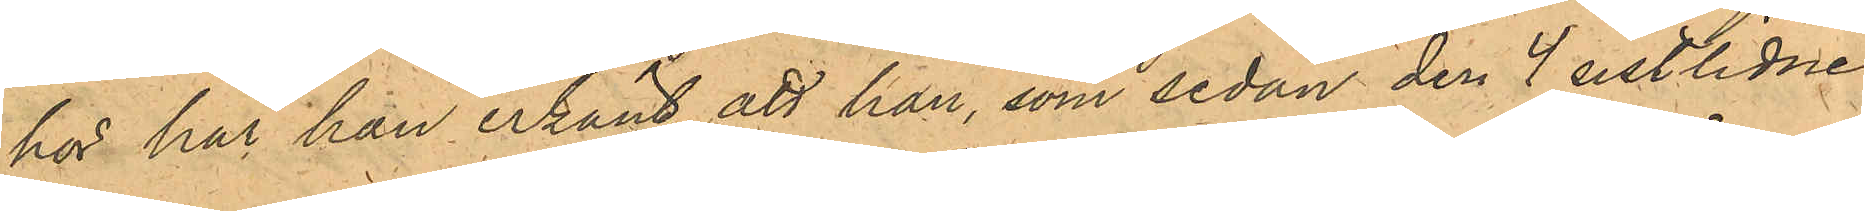hör har han erkänt, att han, som sedan den 4 sistlidne
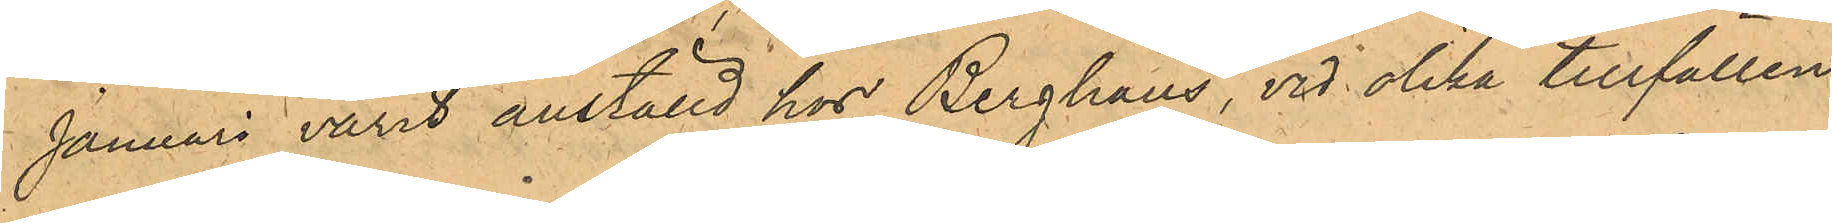Januari varit anställd hos Berghaus, vid olika tillfällen
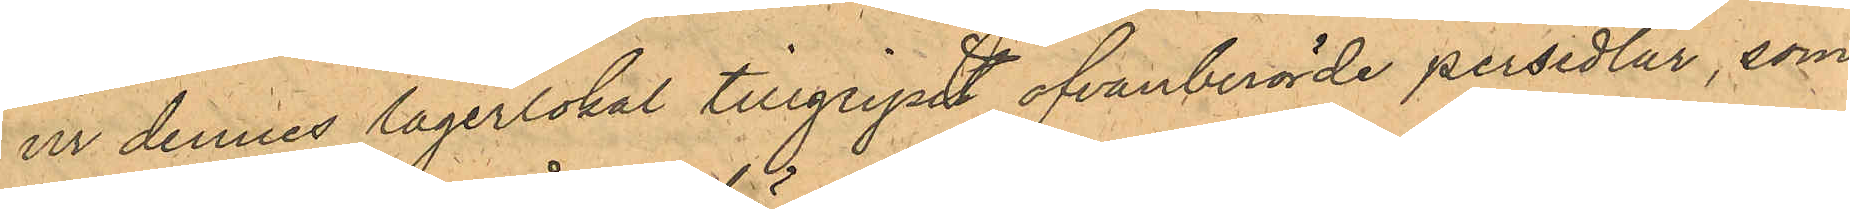ur dennes lagerlokal tillgripit ofvanberörde persedlar, som
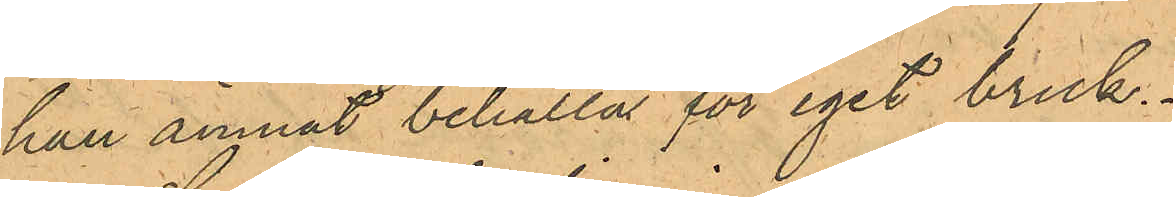han ämnat behålla för eget bruk.
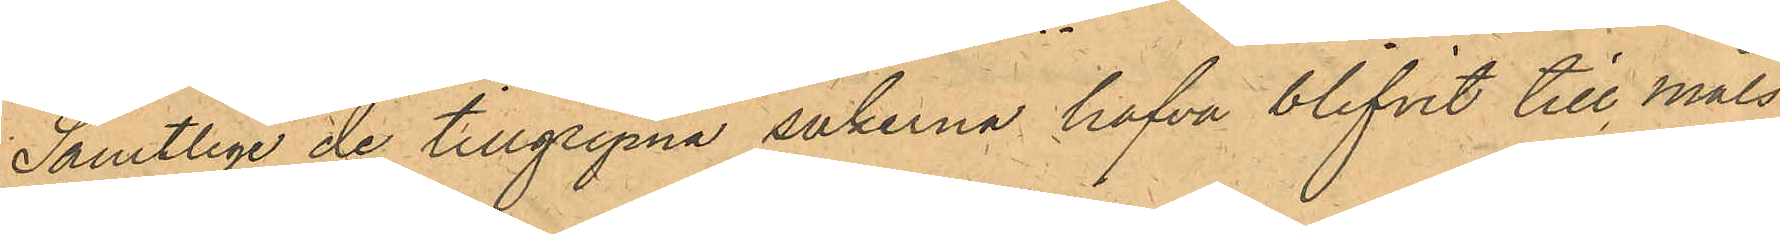Samtlige de tillgripna sakerna hafva blifvit till måls¬
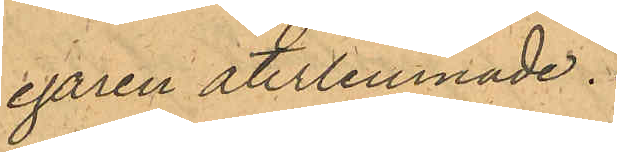egaren återlemnade.
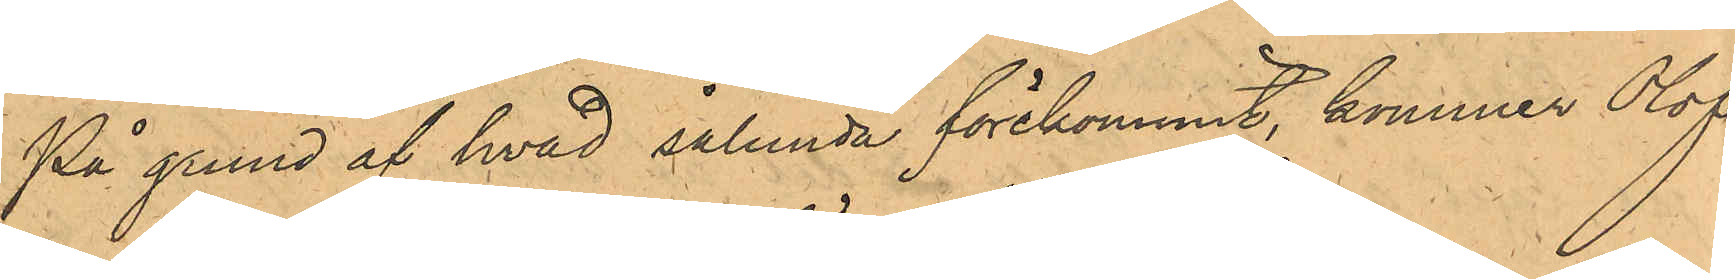På grund af hvad sålunda förekommit, kommer Olof
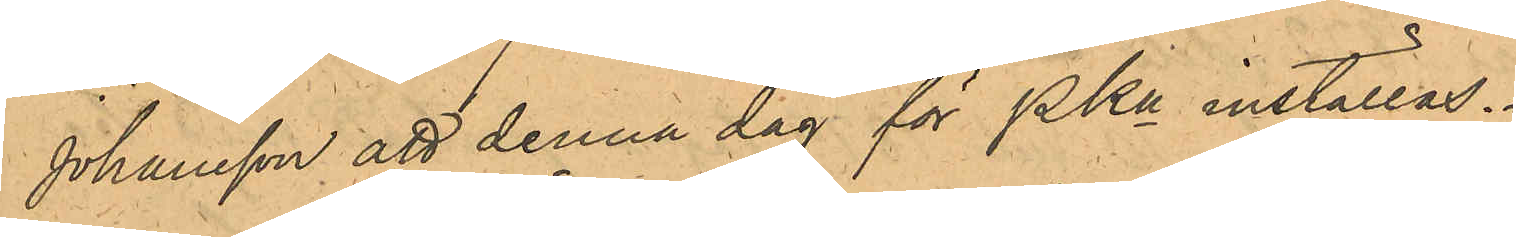Johansson att denna dag för PKn inställas.
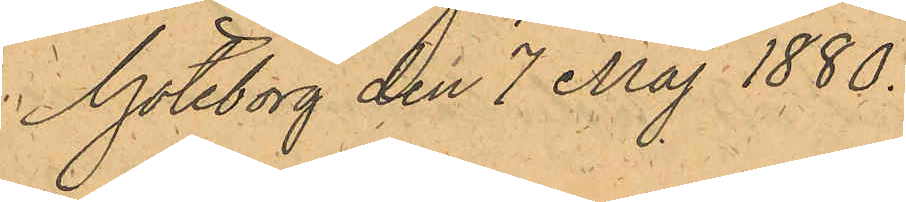Göteborg den 7 Maj 1880.
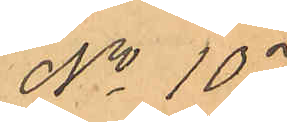No 107.
